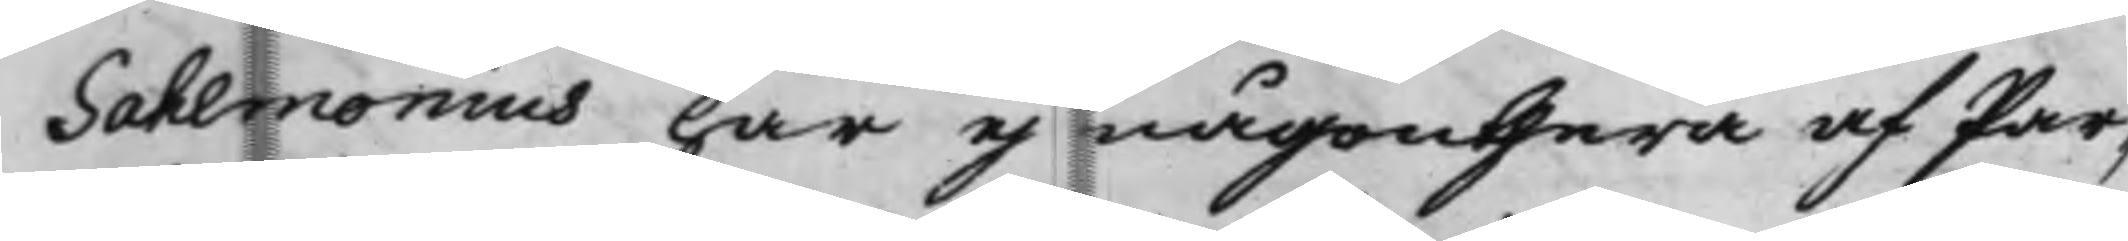Sahlmonius har ej någonthera af Par¬
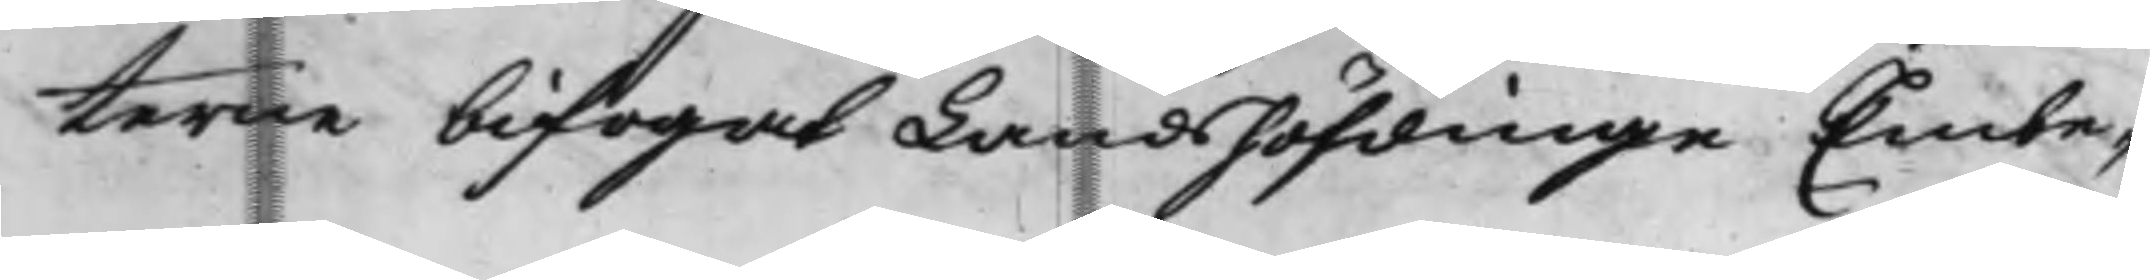terne bifogat Landshöfdinge Embe¬
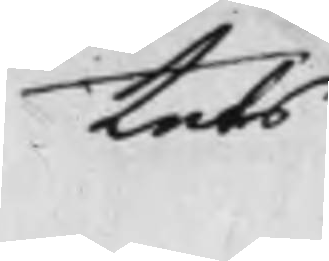tets
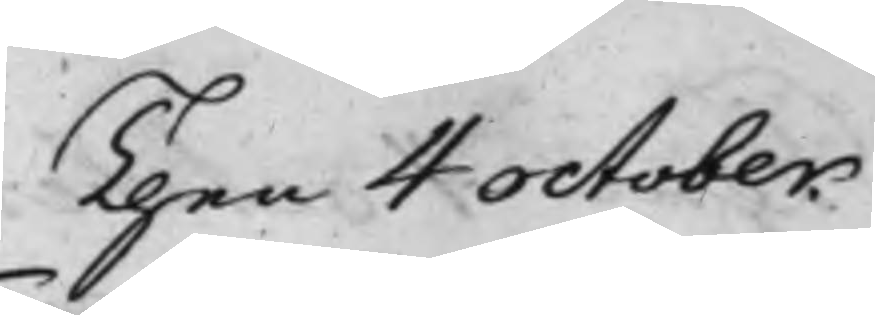Then 4 October
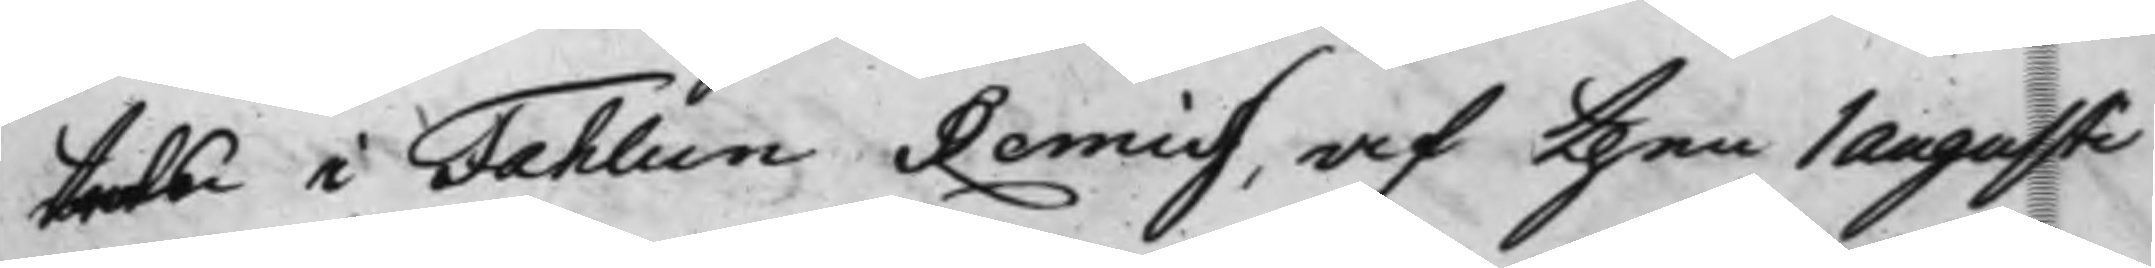tets i Fahlun Remiss, af then 1 Augusti
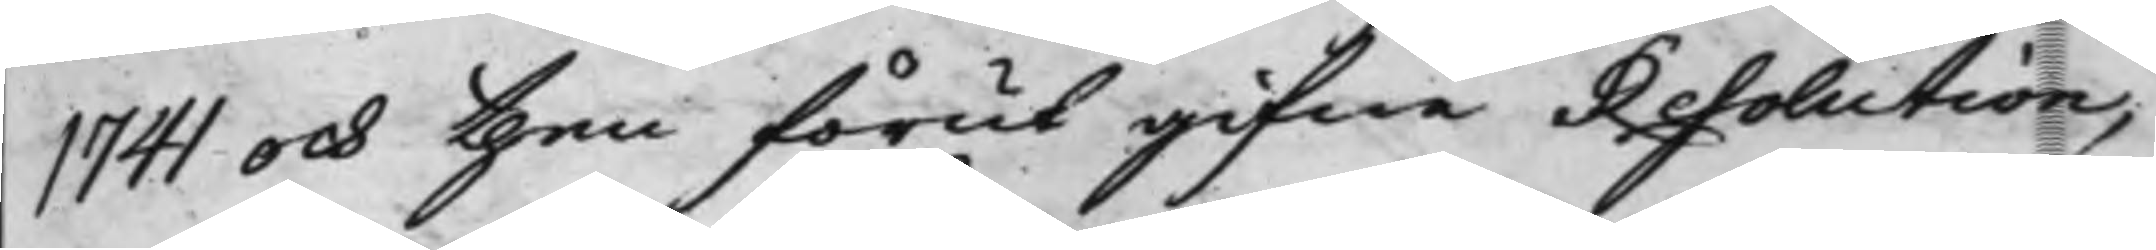1741 och then förut gifne Resolution,
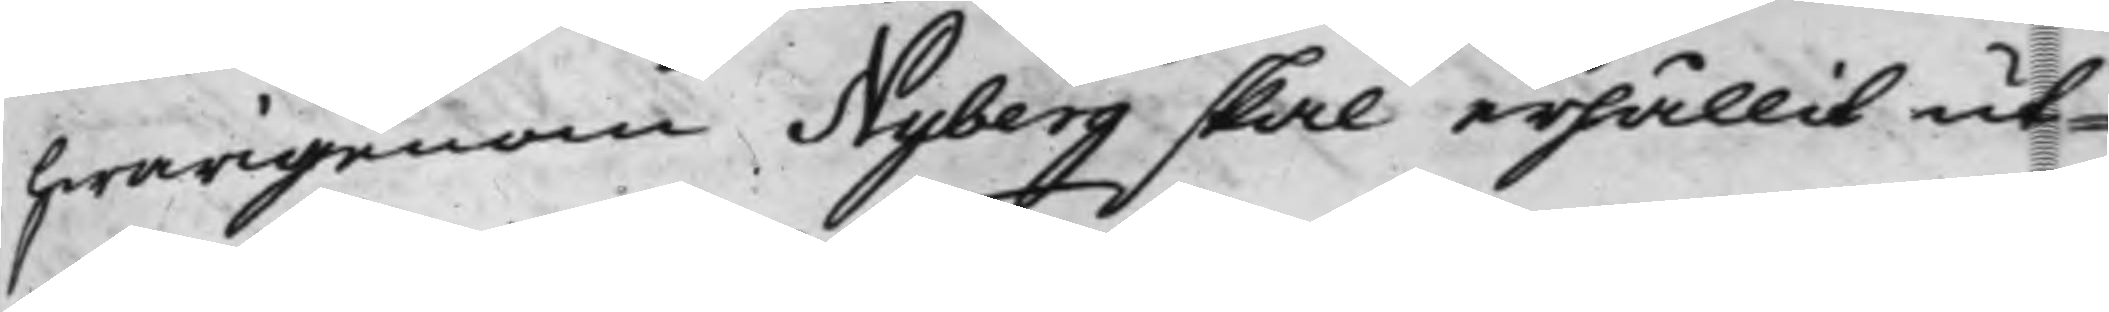hwarigenom Nyberg skal erhållit ut¬
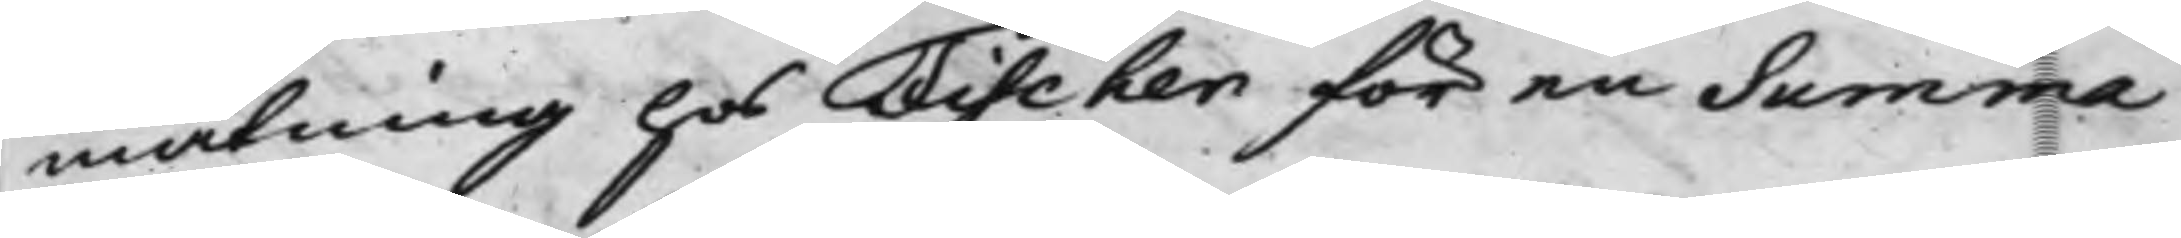mätning hos Fischer för en Summa
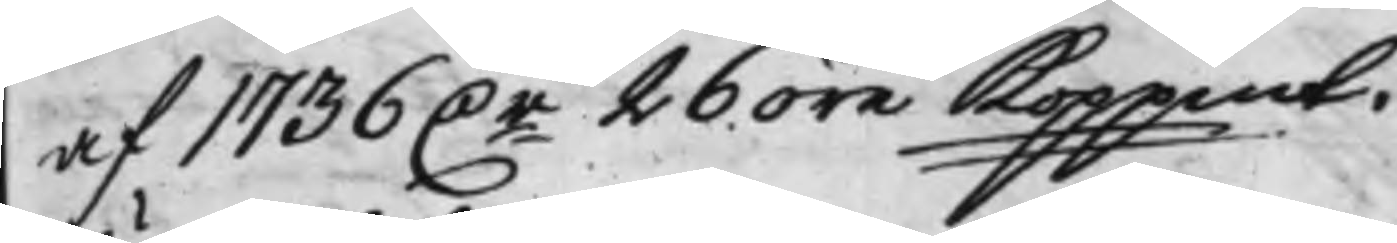af 1736 D.r 26 öre Koppmt.
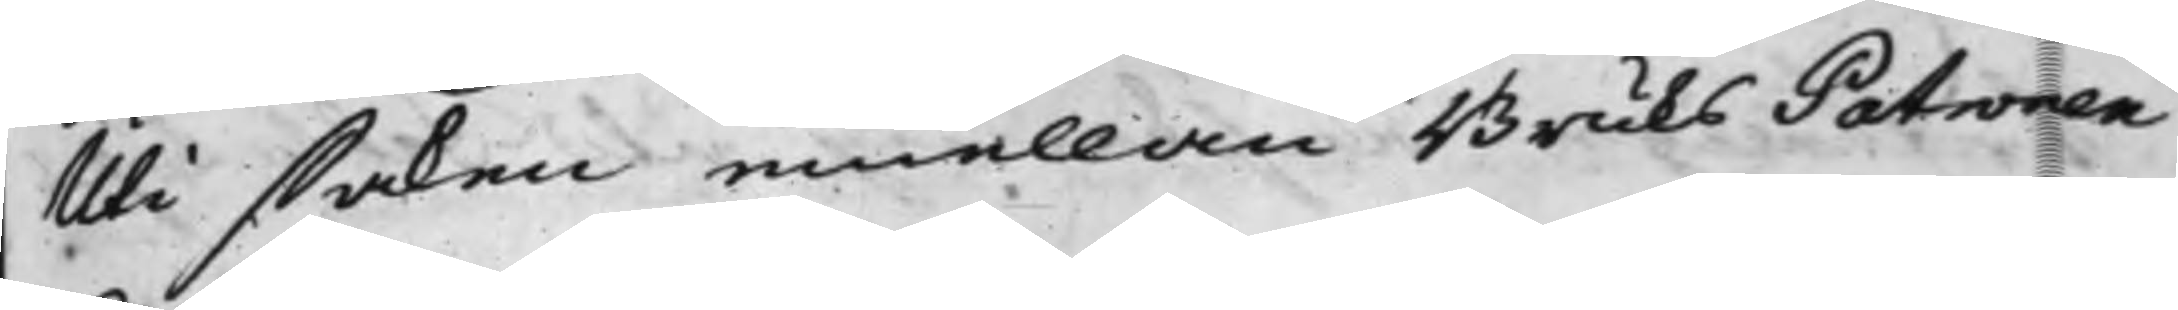Uti saken emellan BruksPatronen
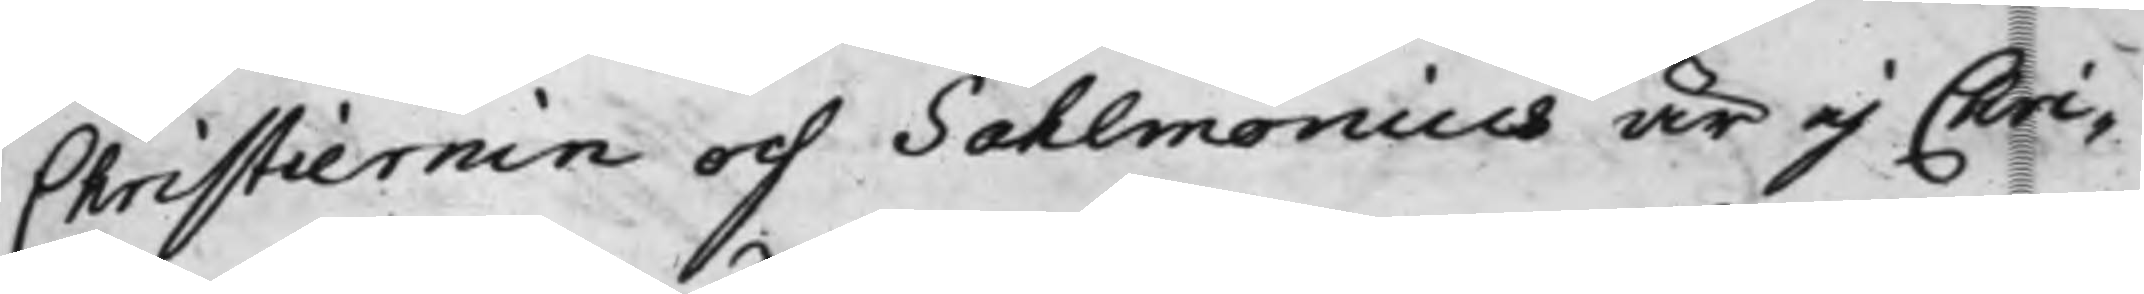Christiernin och Sahlmonius är ej Chri¬
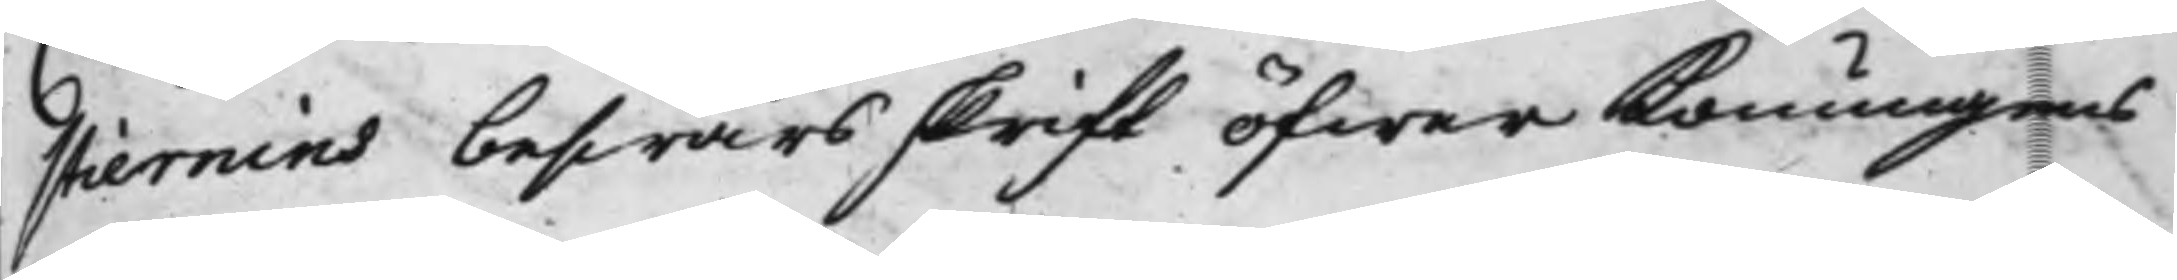stiernins beswärsskrift öfwer Konungens
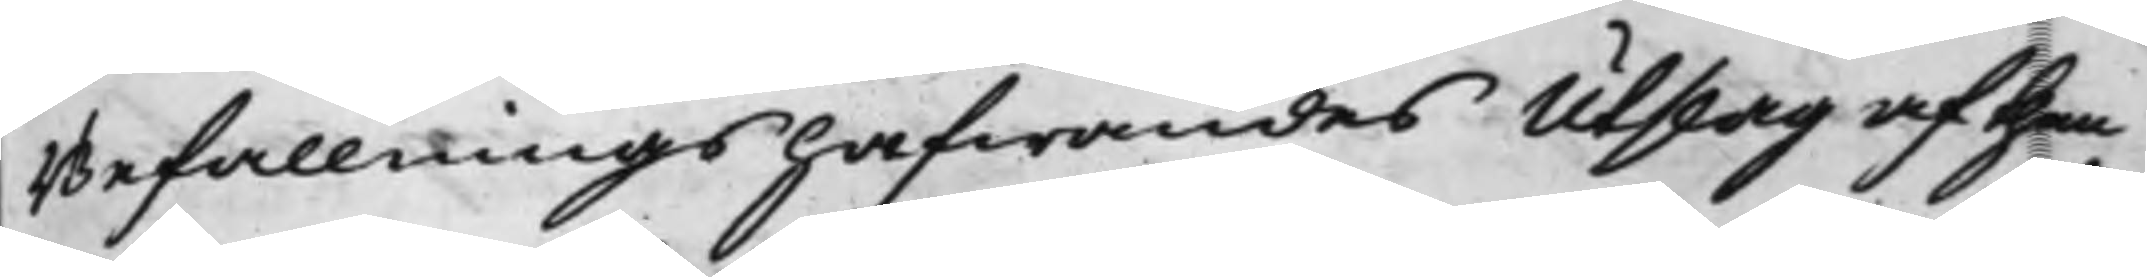Befallningshafwandes Utslag af then
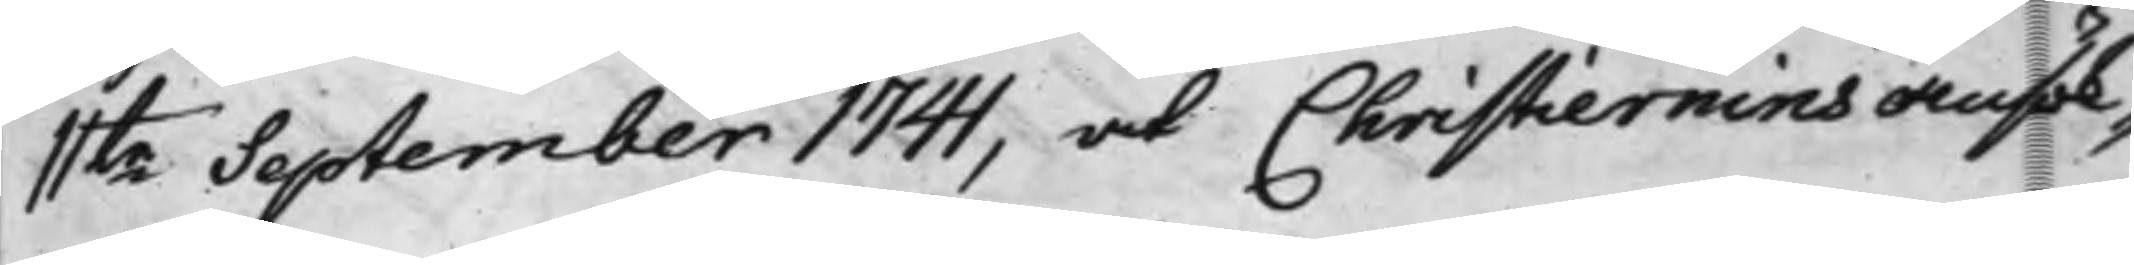11te September 1741, at Christiernins ansök¬
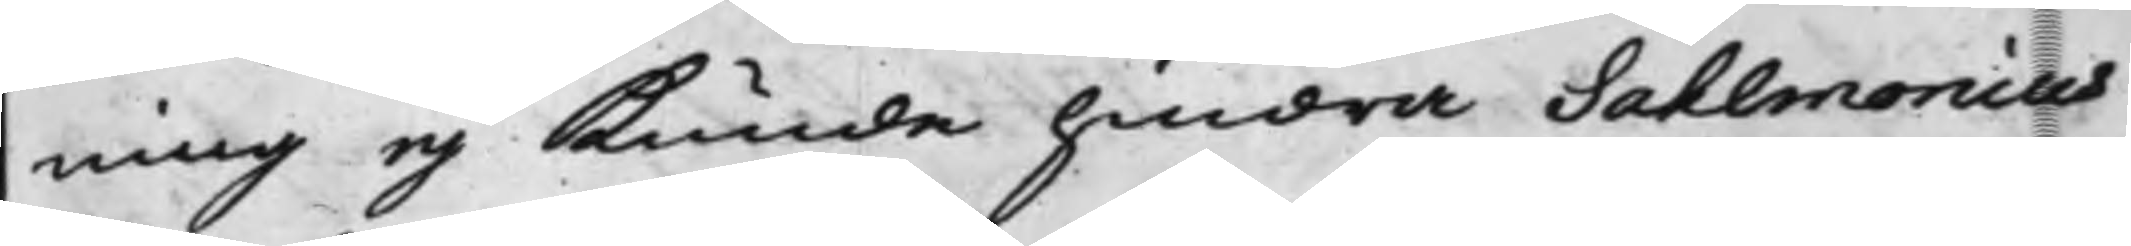ning ej kunde hindra Sahlmonius
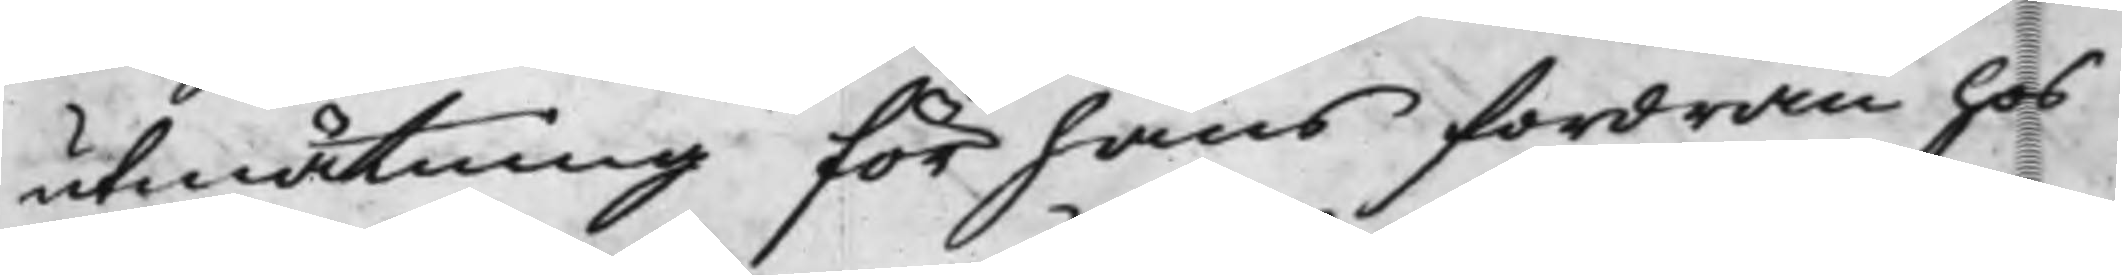utmätning för hans fordran hos
